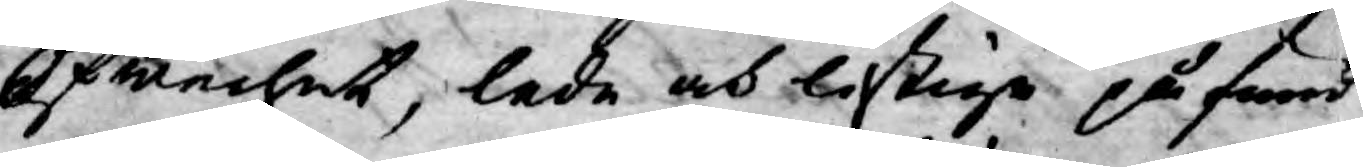Öfwerhet, lede och listige påfund
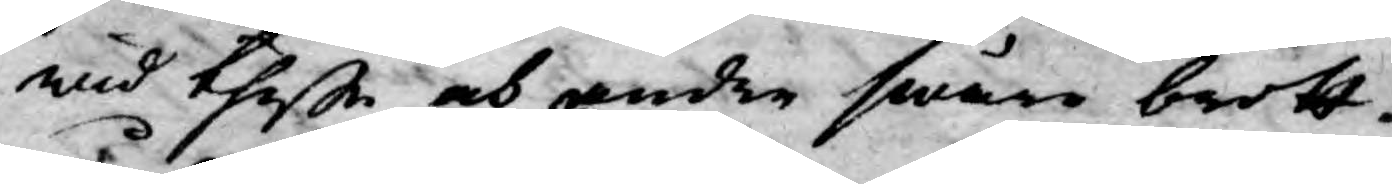wid theße och andre swåre brott¬
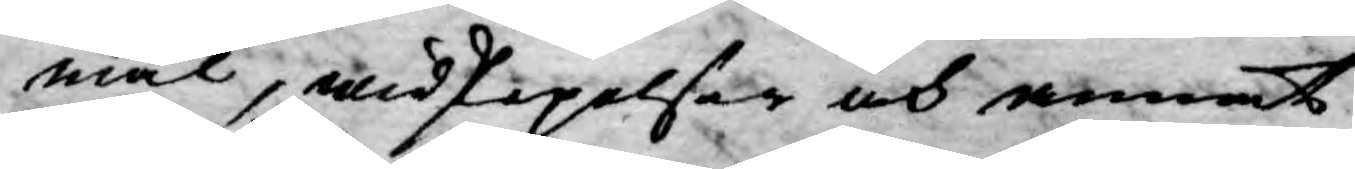mål, widskepelser och annat
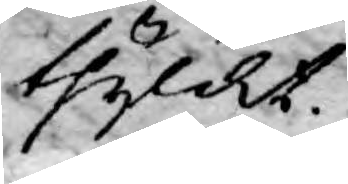thylikt.
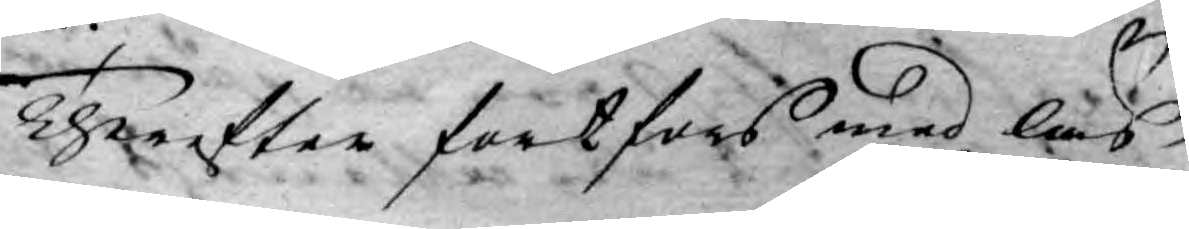Therefter fortfors med läs¬
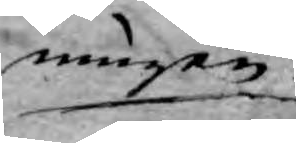ningen
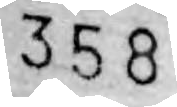358
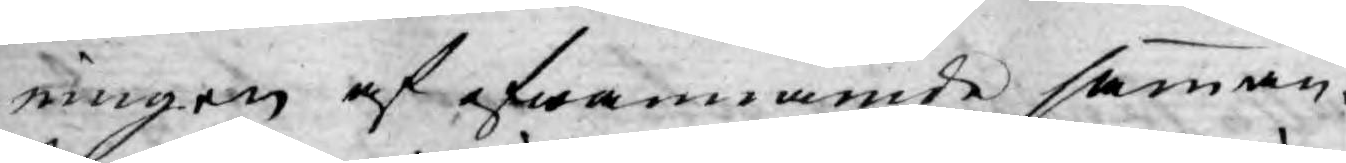ningen af ofwannämde samman¬
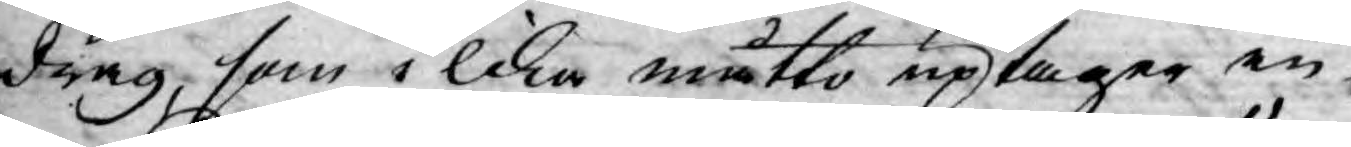drag, som i lika måtto uptager in¬
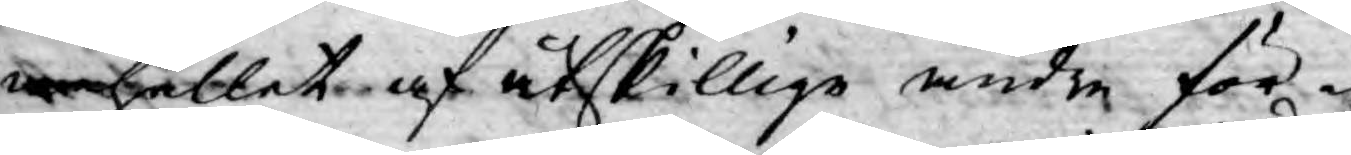nehållet af åtskillige andre för¬
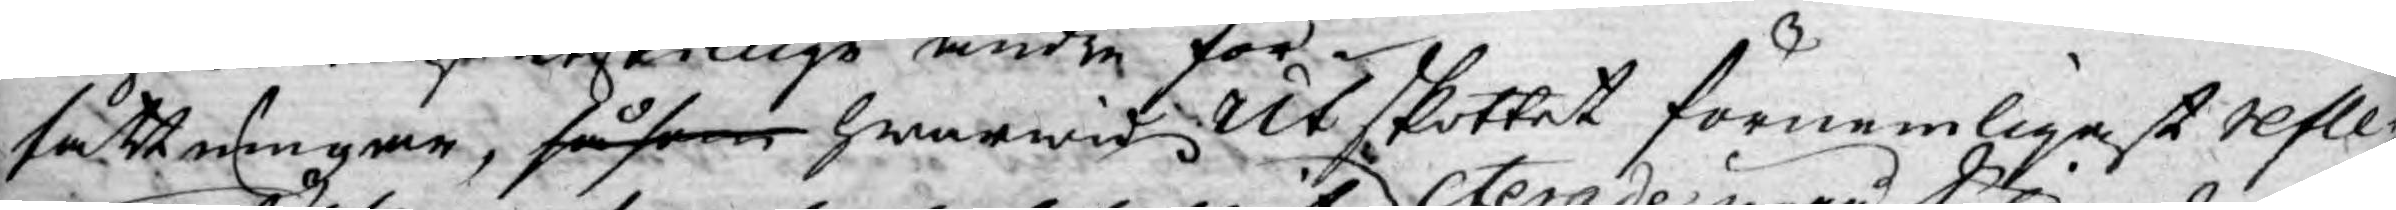fattningar, såsom hwarwid Utskottet förnemligast refle¬
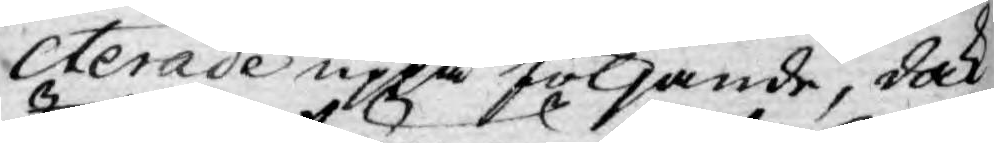cterade uppå följande, dock
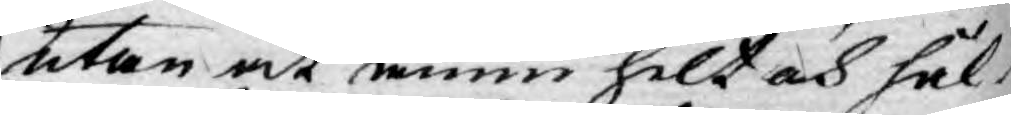utan at ännu helt och hål¬
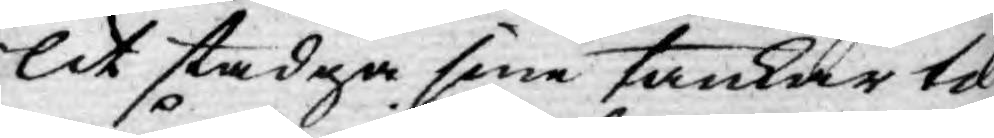lit stadga sine tankar til
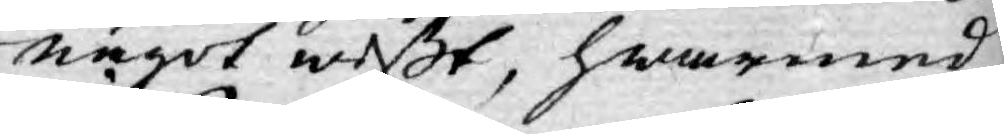något wißt, hwarmed
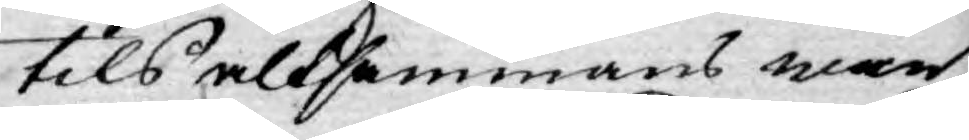tils altsammans woro
